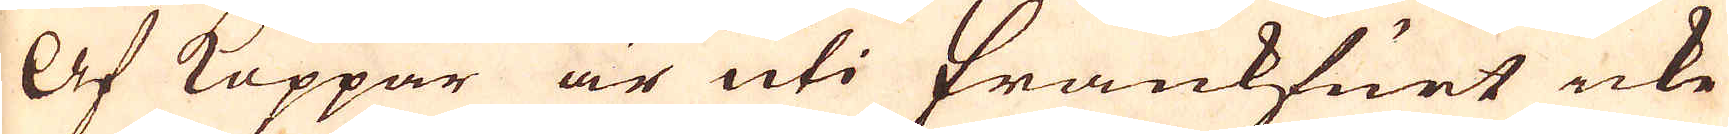Af Koppar är uti Frankfurt icke
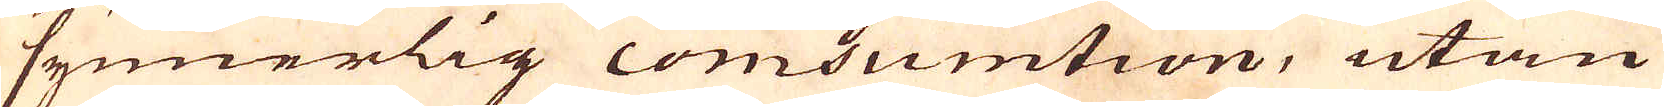synnerlig comsumtion, utan
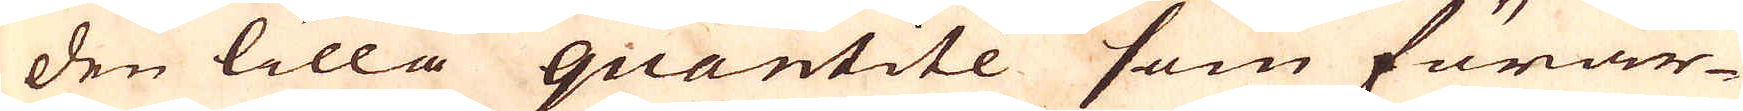den lilla quantitée som förar-
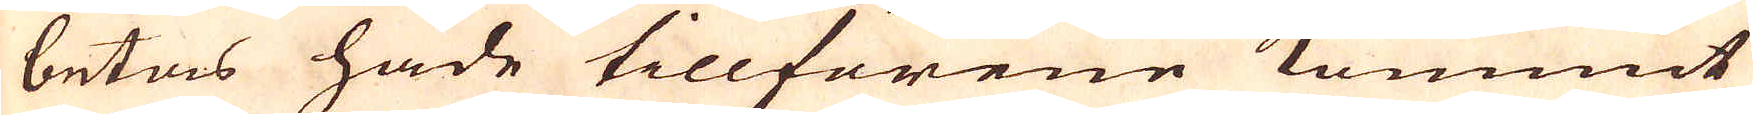betas hade tillförene kommit
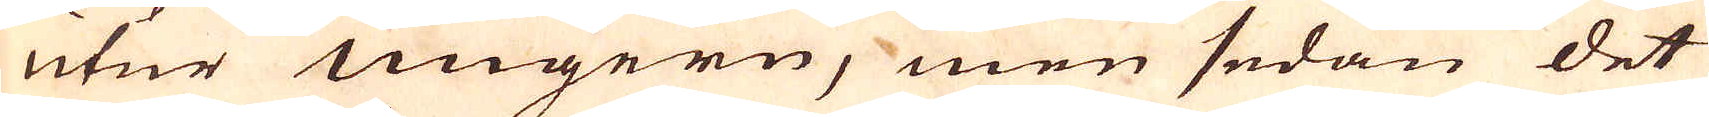utur Ungern, men sedan det
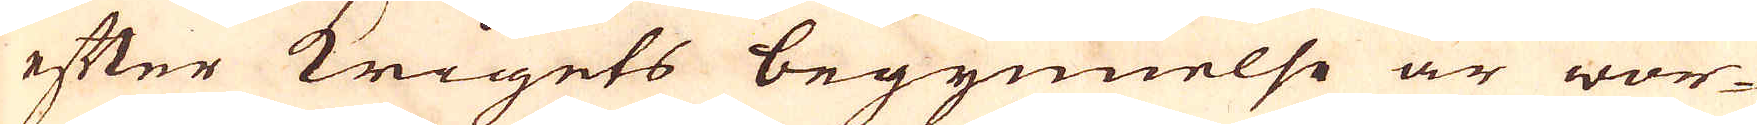efter Krigets begynnelse är wor-
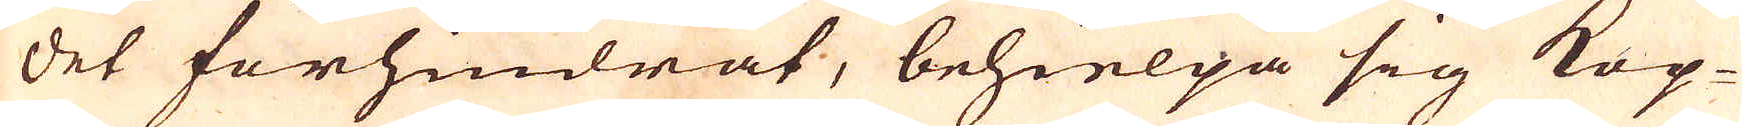det förhindrat, behielpa sig Kop-
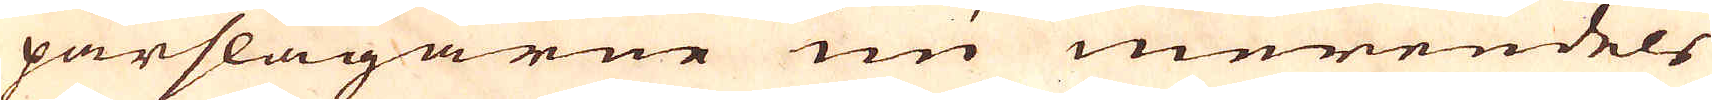parslagarne nu merendels
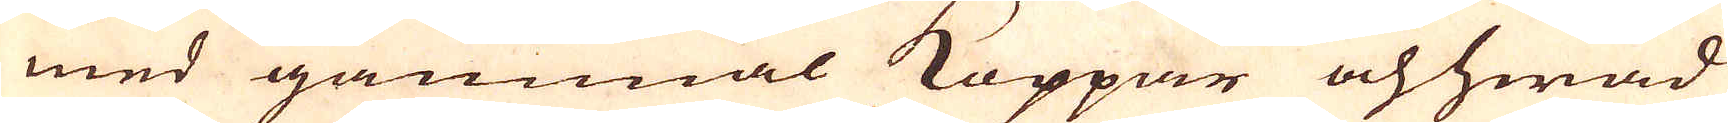med gammal Koppar och hwad
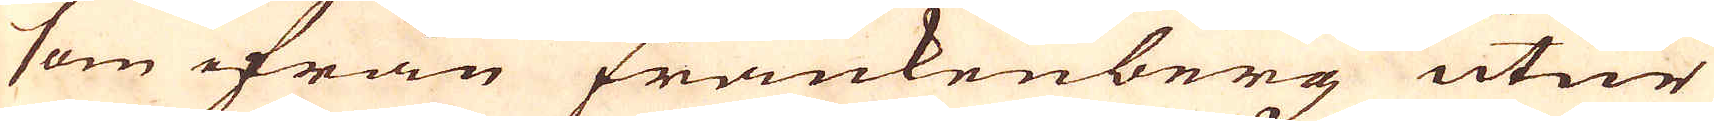som ifrån Frankenberg utur
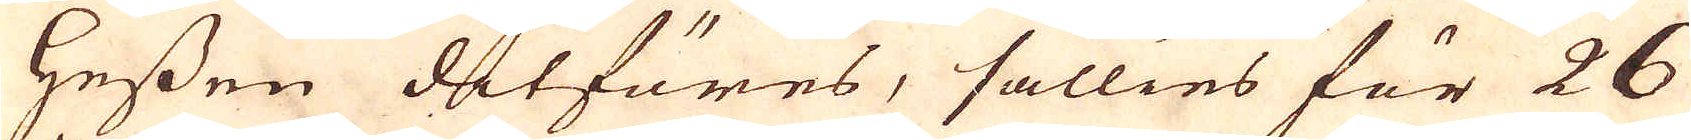Hessen ditföres, sällies för 26
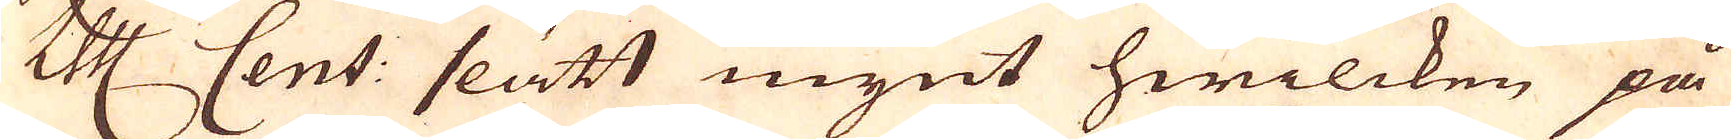Colonge Mark Cent: slätt mynt hwilcken på
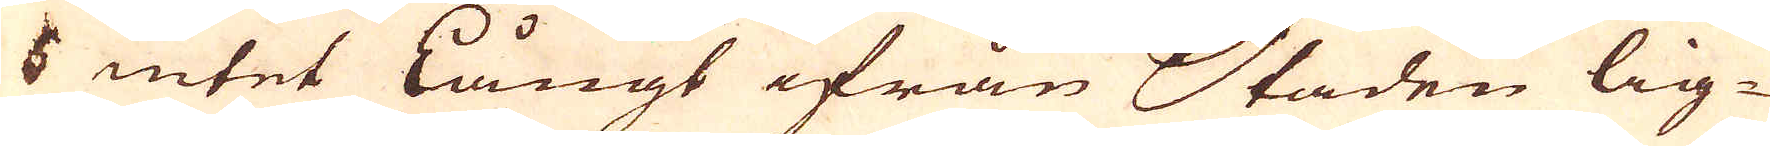5 intet långt ifrån Staden lig-
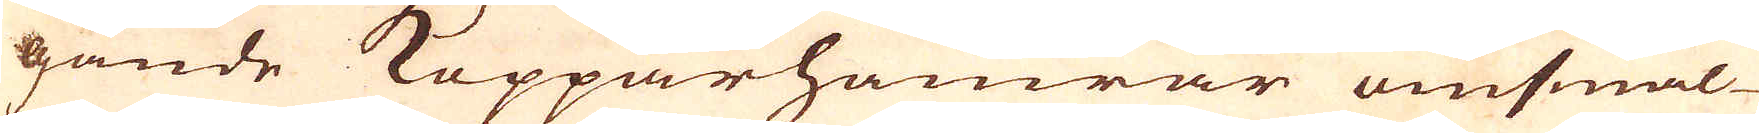gande Kopparhamrar omsmäl-
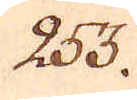253.
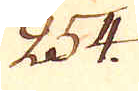254.
